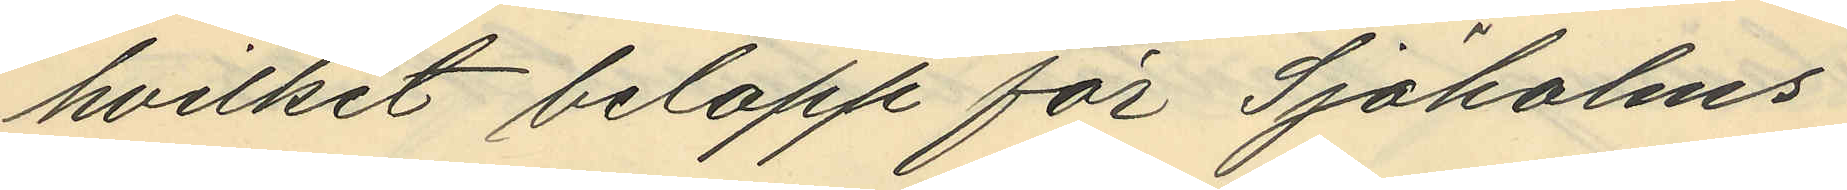hvilket belopp för Sjöholms
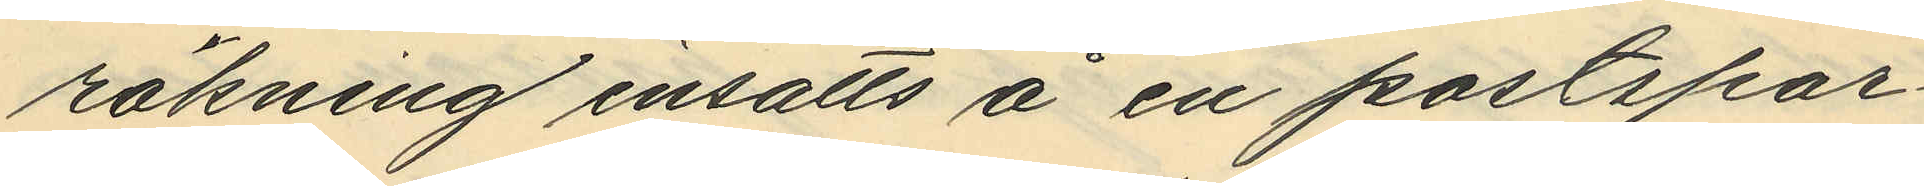räkning insatts å en postspar¬
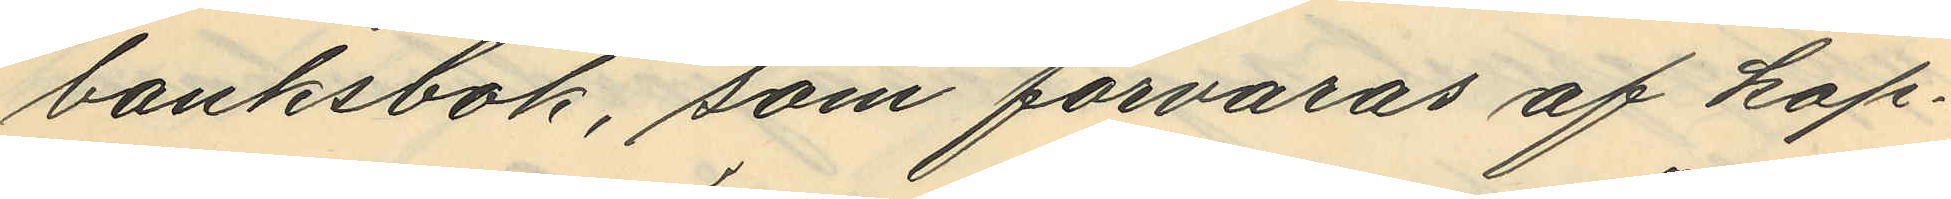banksbok, som förvaras af kap¬
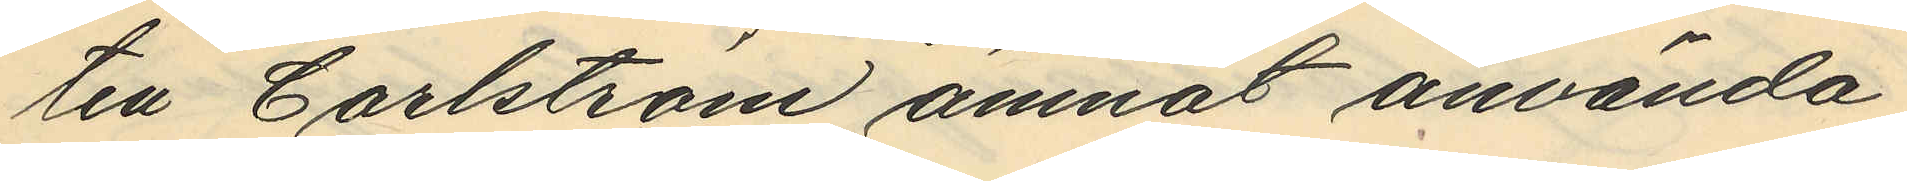ten Carlström ämnat använda
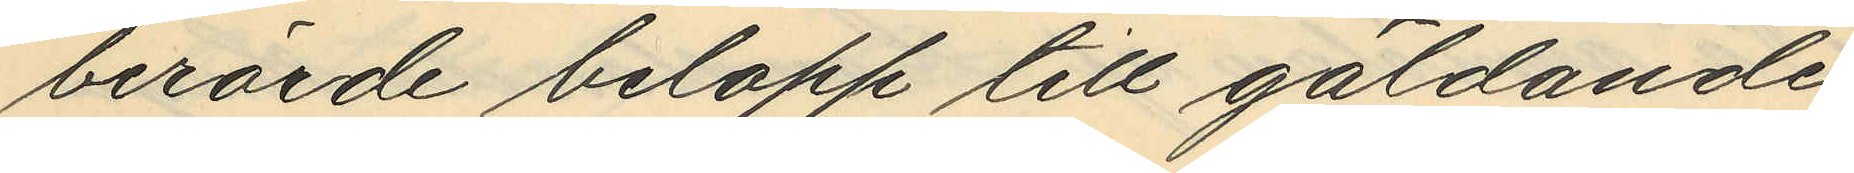berörde belopp till gäldande
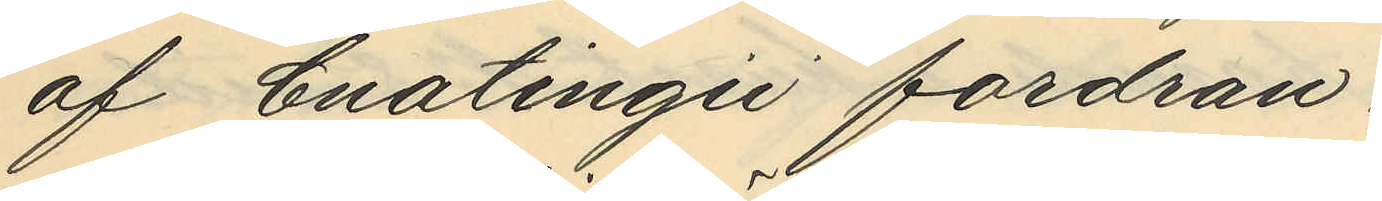af Enatingii fordran
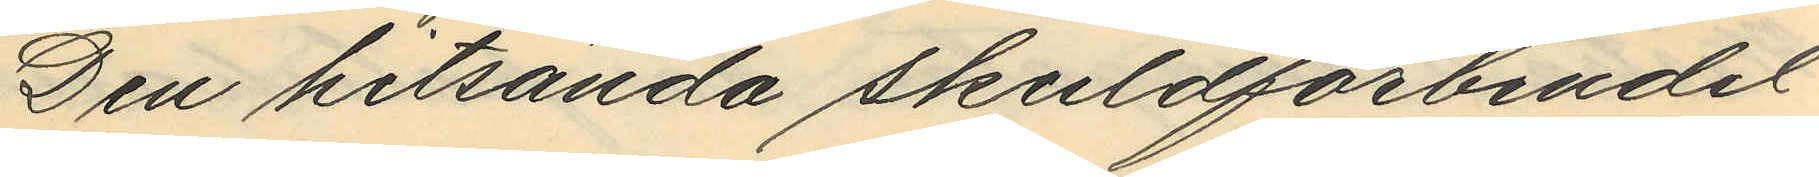Den hitsända skuldförbindel¬
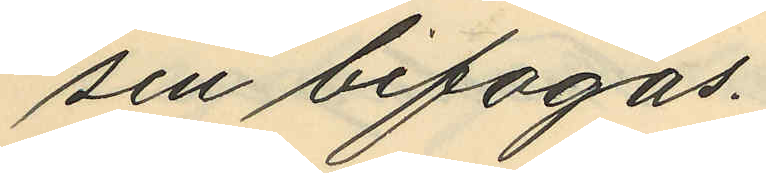sen bifogas.
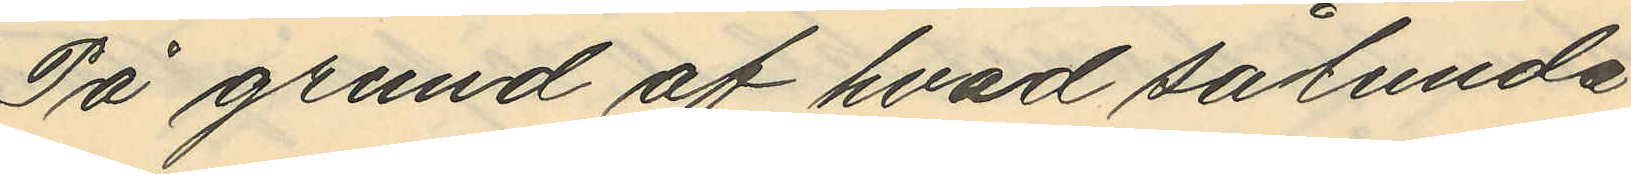På grund af hvad sålunda
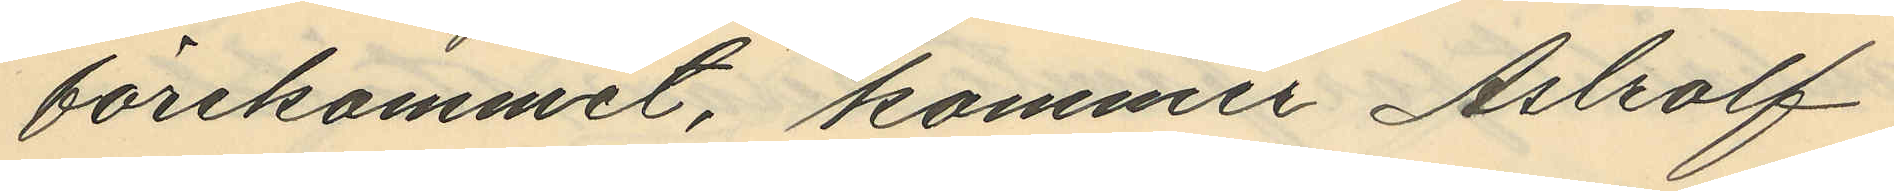förekommit, kommer Astolf
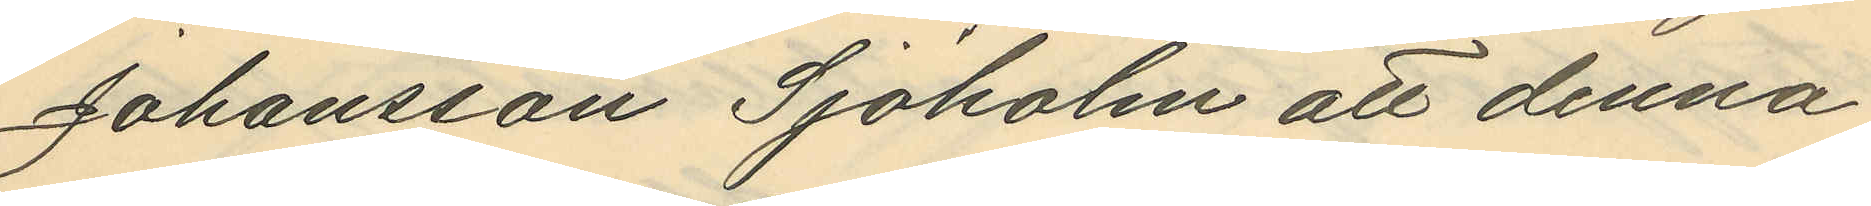Johansson Sjöholm att denna
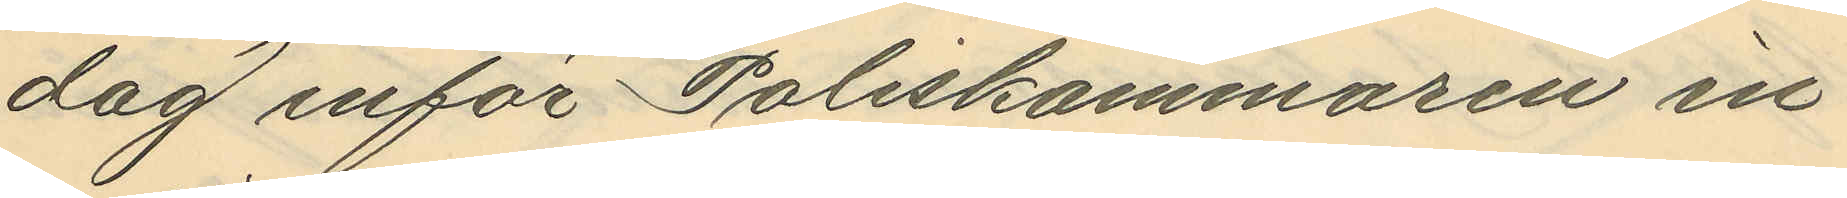dag inför Poliskammaren in¬
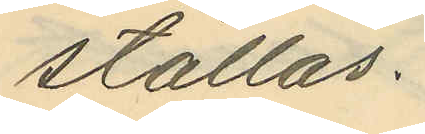ställas.
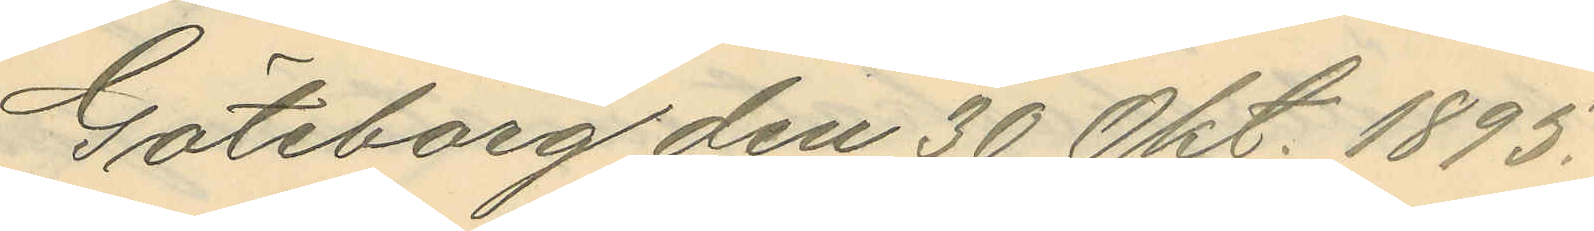Göteborg den 30 Okt. 1895.
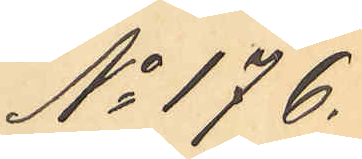No 176.
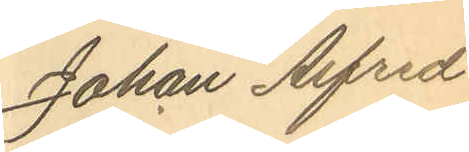Johan Alfred
